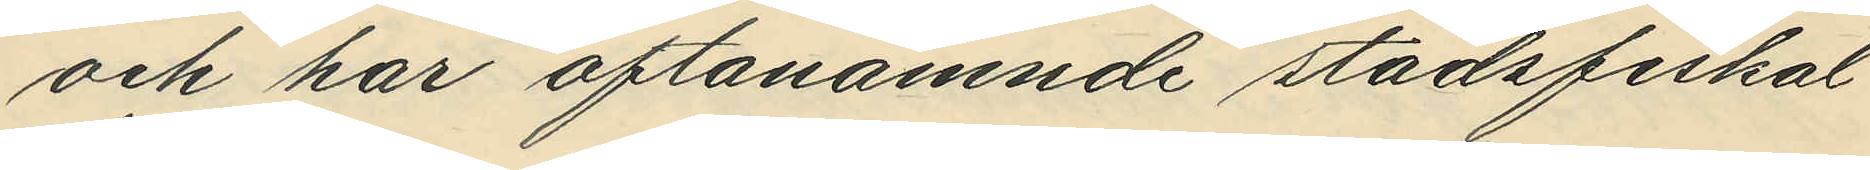och har oftanämnde stadsfiskal
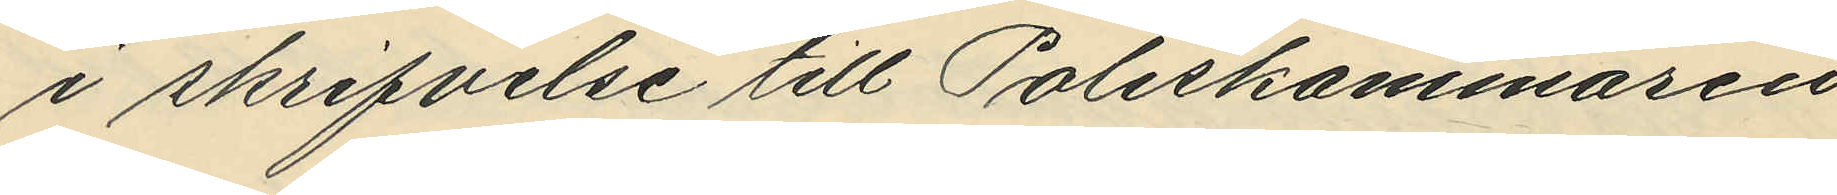i skrifvelse till Poliskammaren
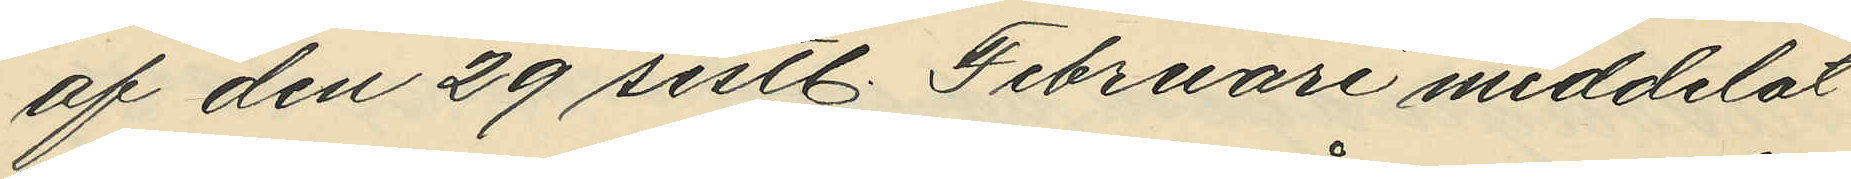af den 29 sistl. Februari meddelat
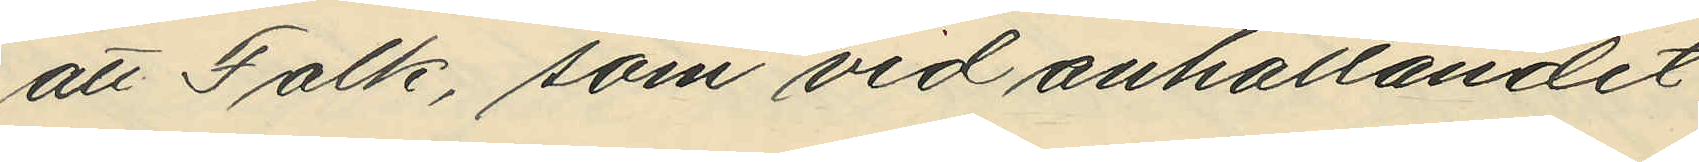att Falk, som vid anhållandet
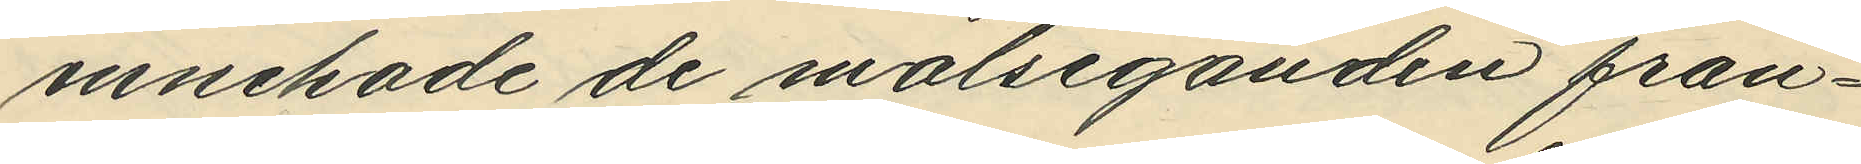innehade de målseganden från¬
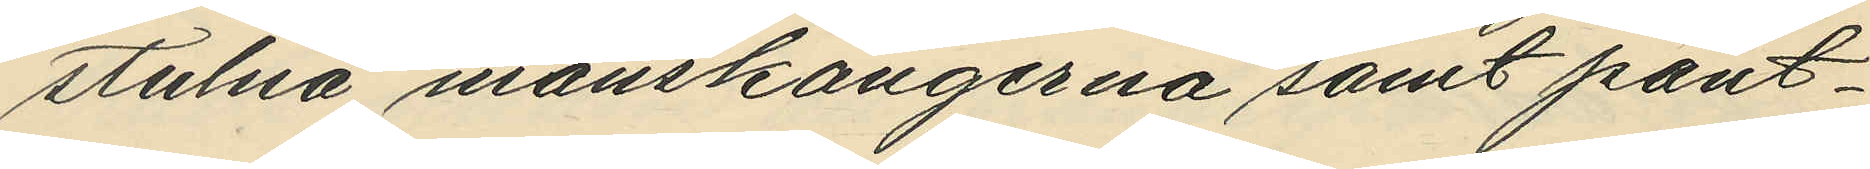stulna mänskängerna samt pant¬
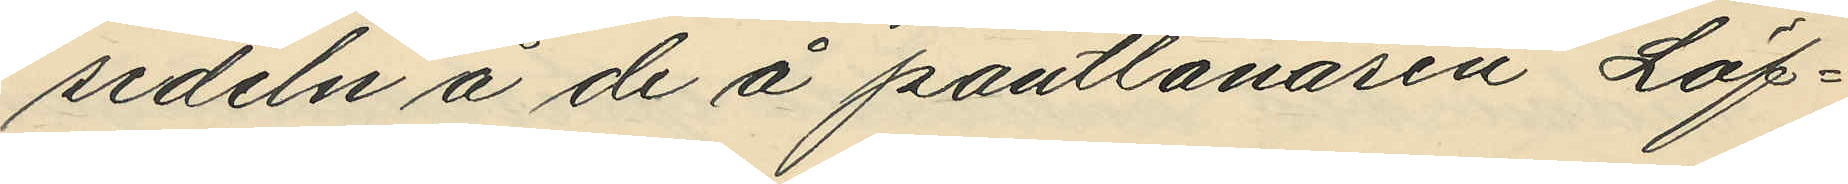sedeln å de å pantlånarens Löf¬
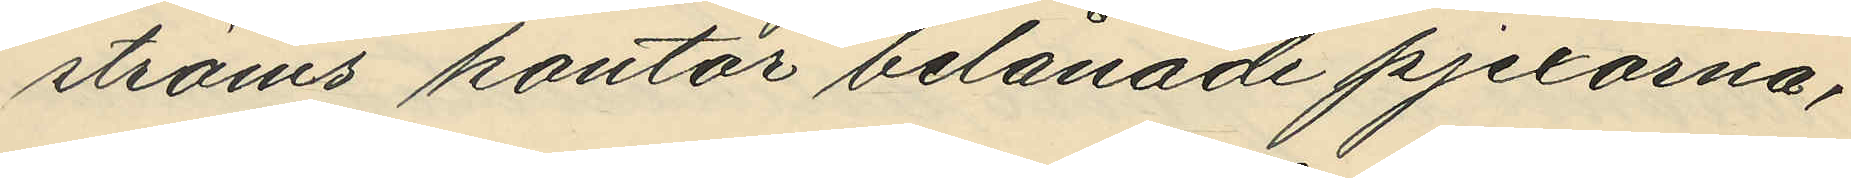ströms kontor belånade pjexorna,
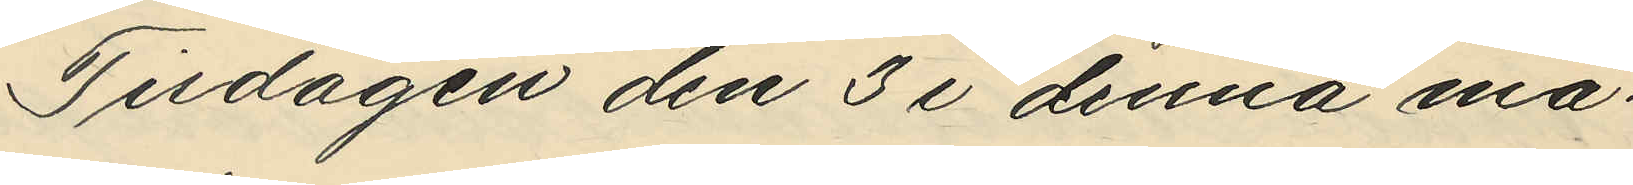Tisdagen den 3 i denna må¬
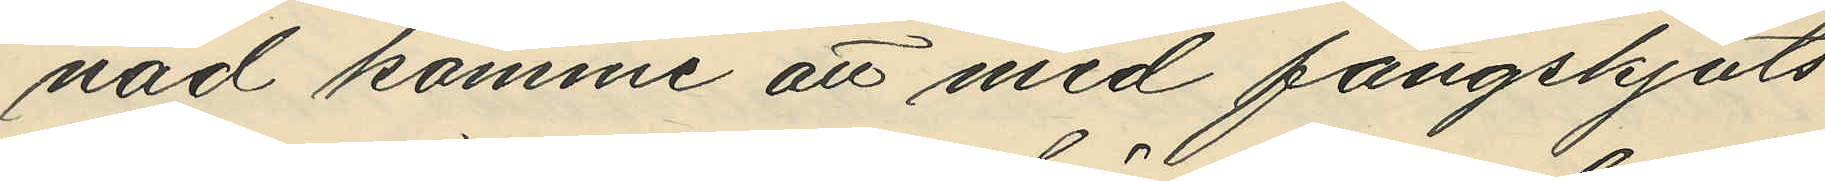nad komme att med fångskjuts¬
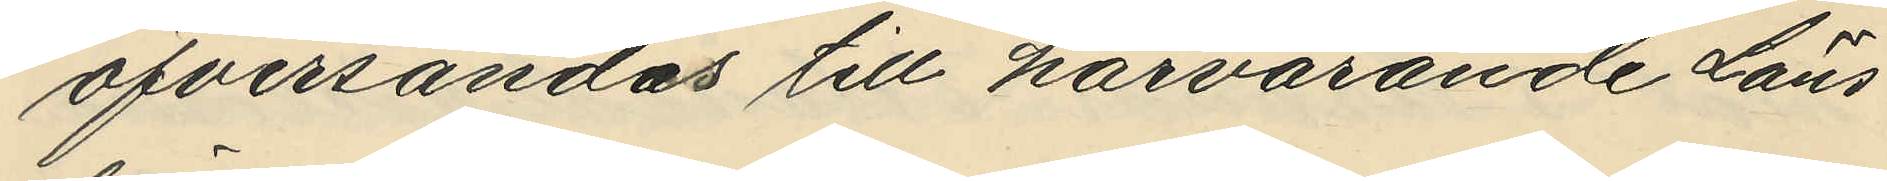öfversändes till härvarande Läns¬
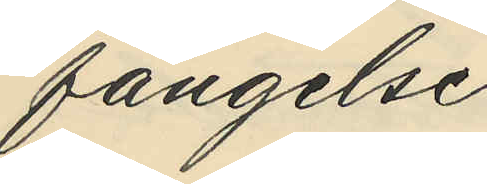fängelse.
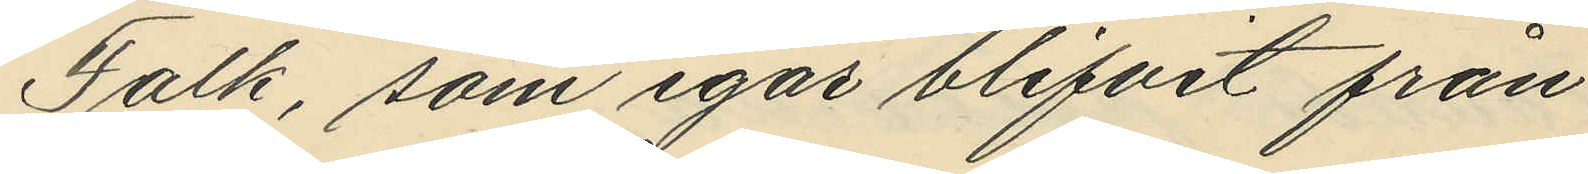Falk, som igår blifvit från
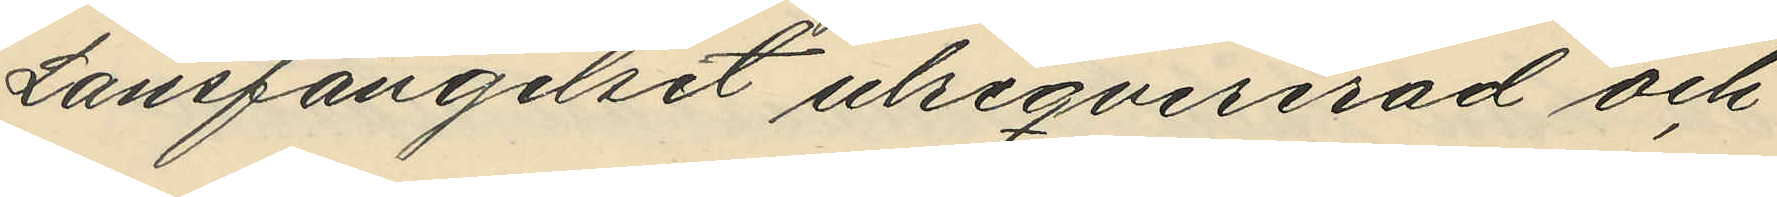Länsfängelset utreqvirerad och
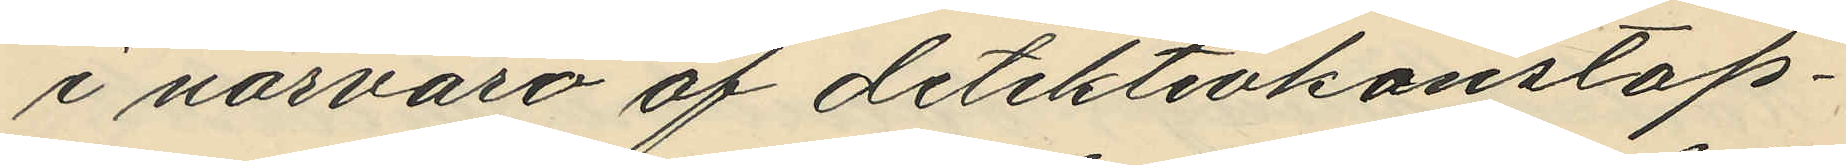i närvaro af detektivkonstap¬
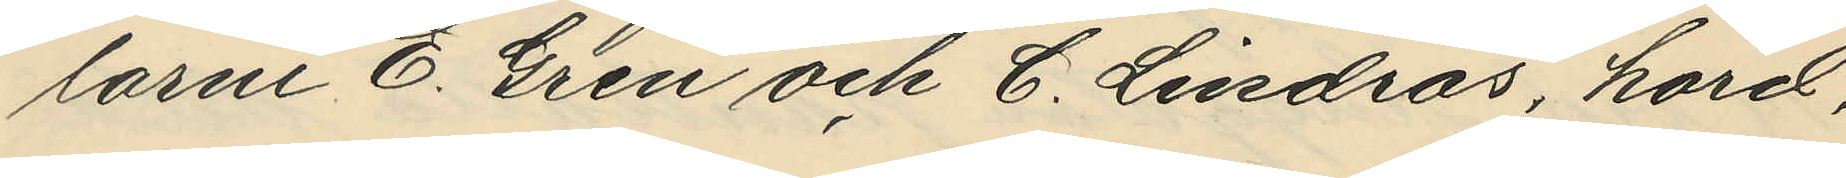larne E. Gren och C. Lindros, hörd,
